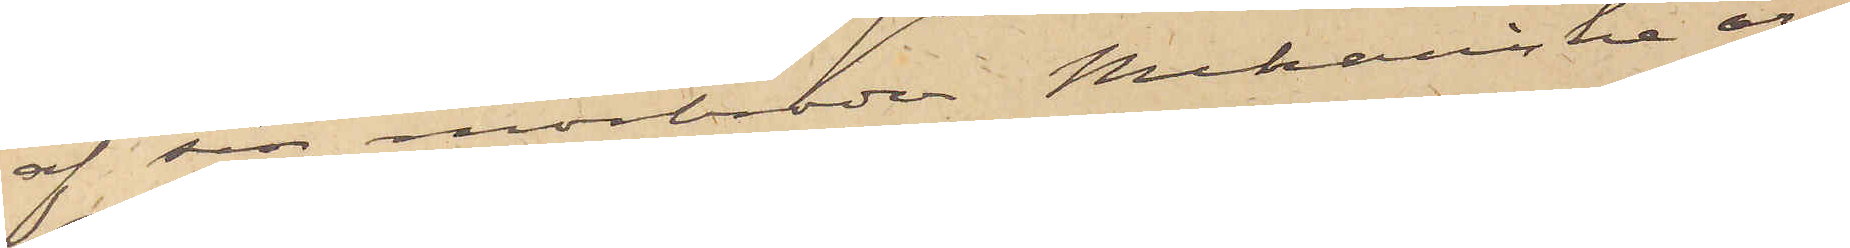af sin morbroder Mekaniske ar¬
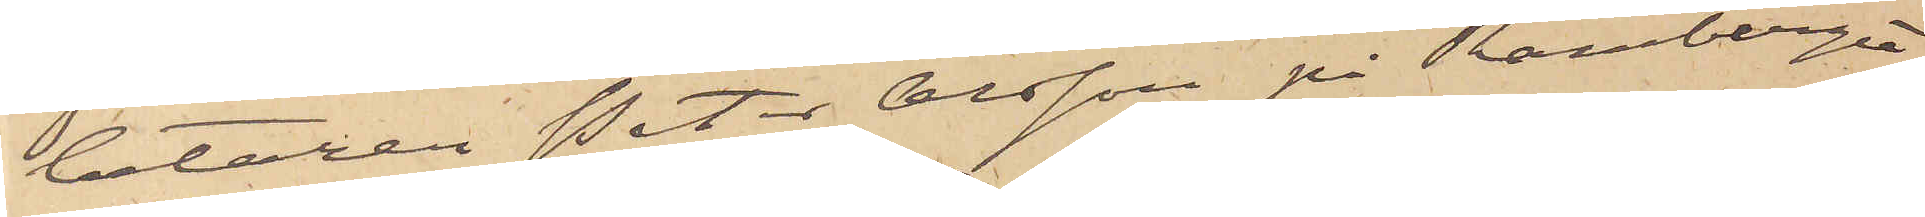betaren Peter Olsson på Ramberget,
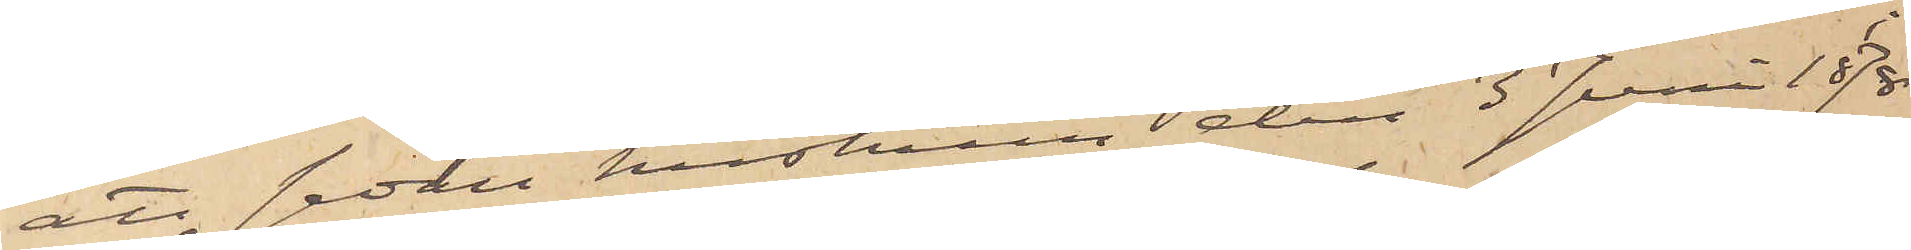att sedan hustrun den 3 Juni 1878
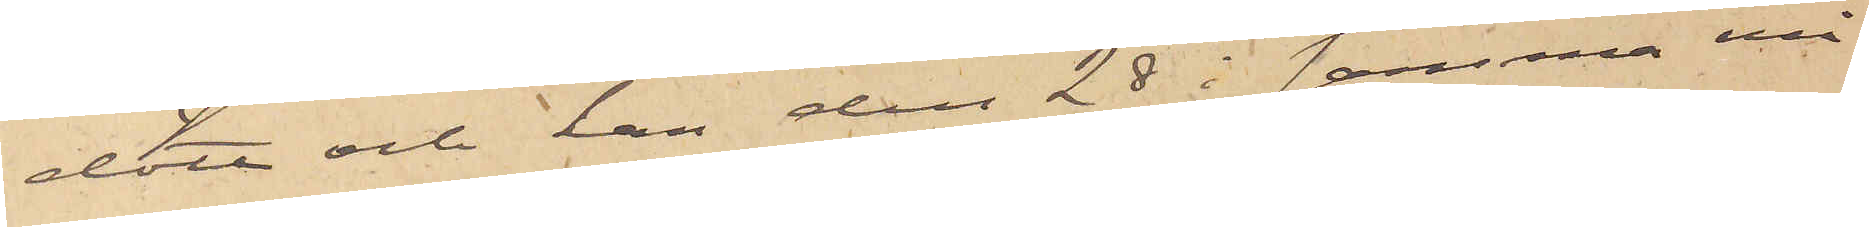dött och han den 28 i samma må¬
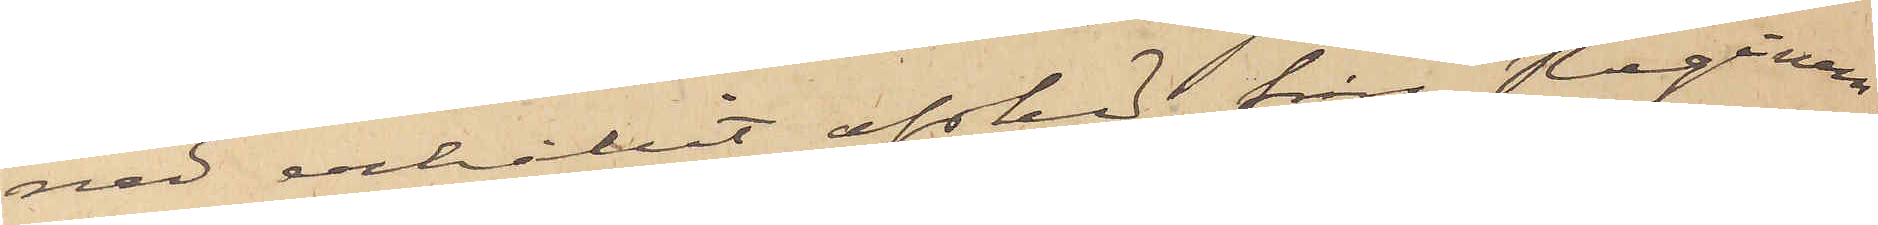ned erhållit afsked från Regemen¬
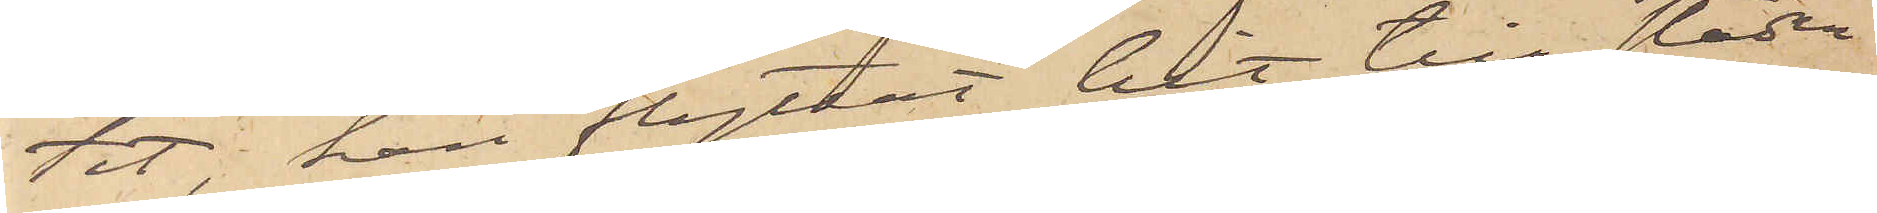tet, han flyttat hit till staden
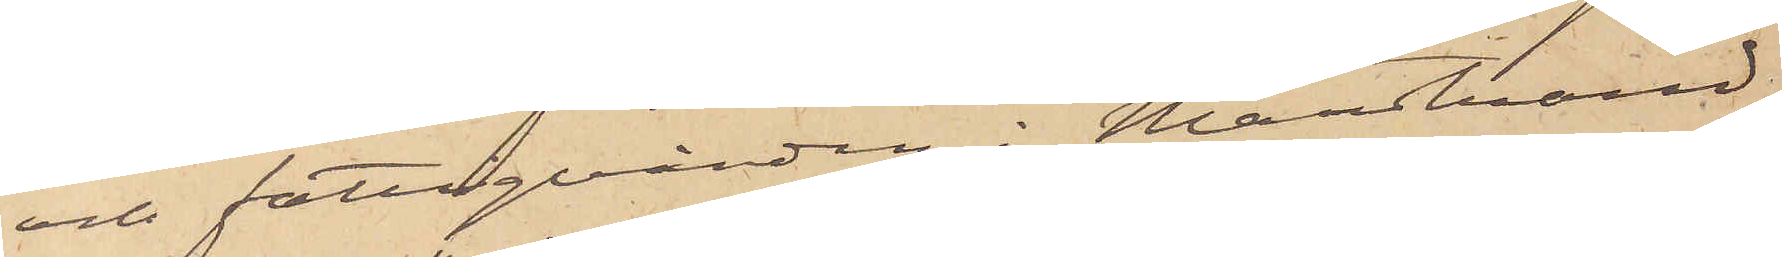och fattigvården i Marstrand
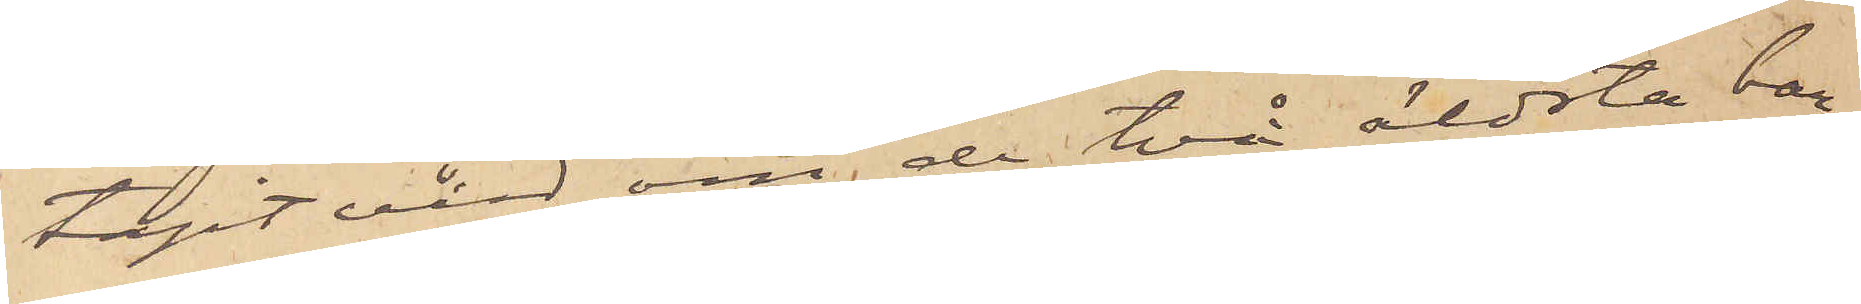tagit vård om de två äldsta bar¬
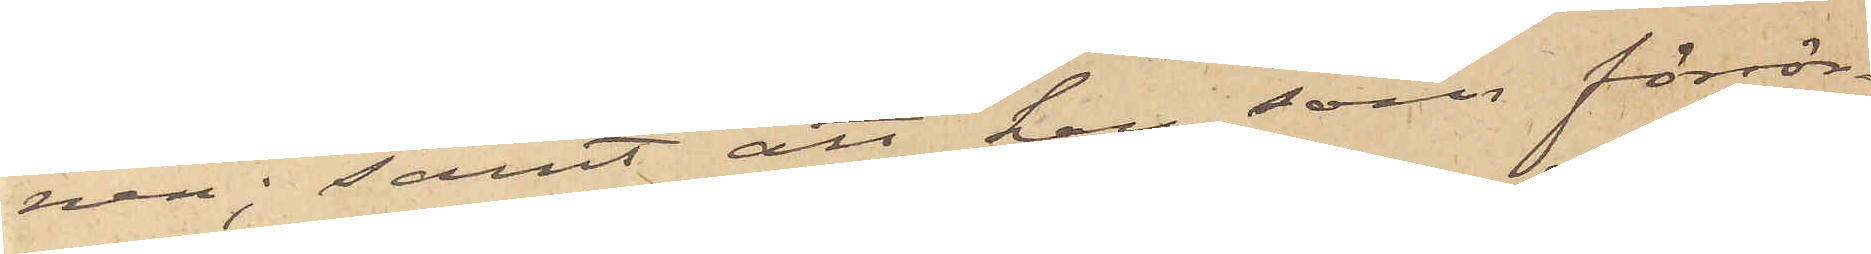nen; samt att han, som försör¬
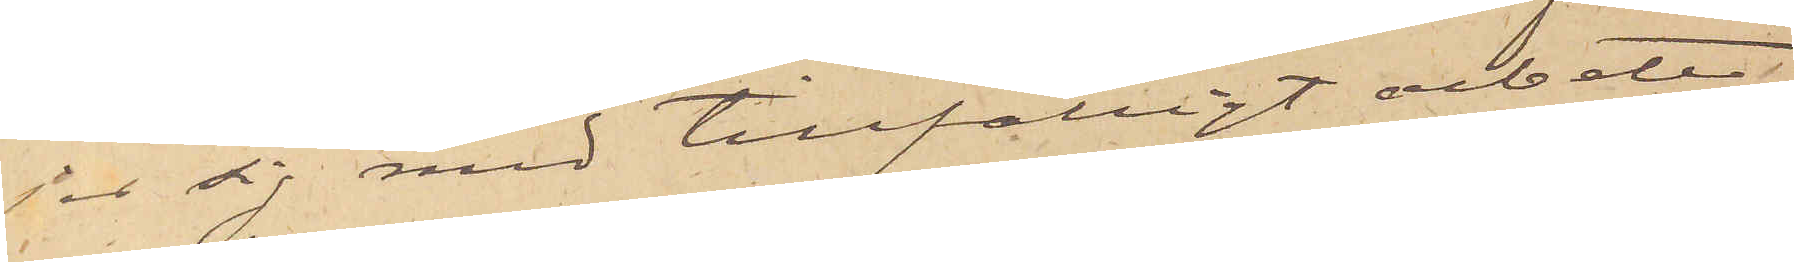jer sig med tillfälligt arbete
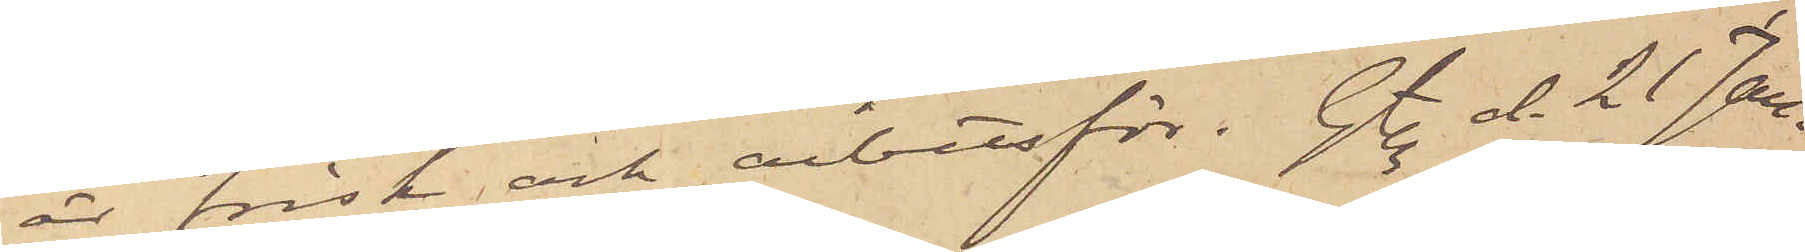är frisk och arbetsför. Gtg d. 21 Jan.
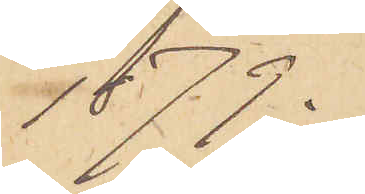1879.
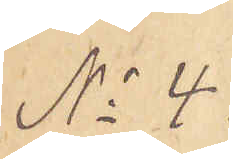No 4
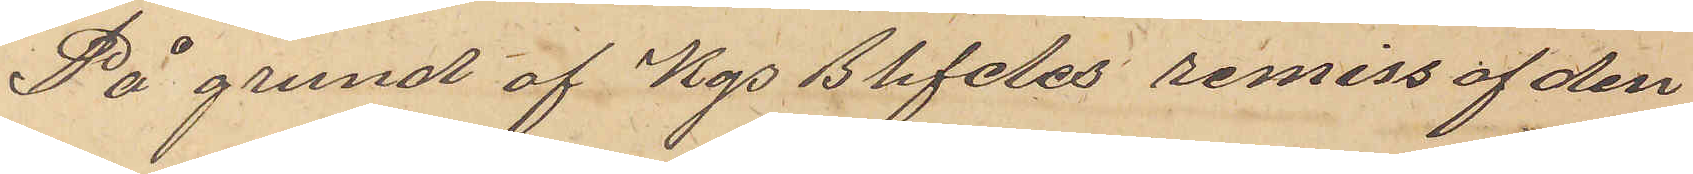På grund af Kgs Bhfdes remiss af den
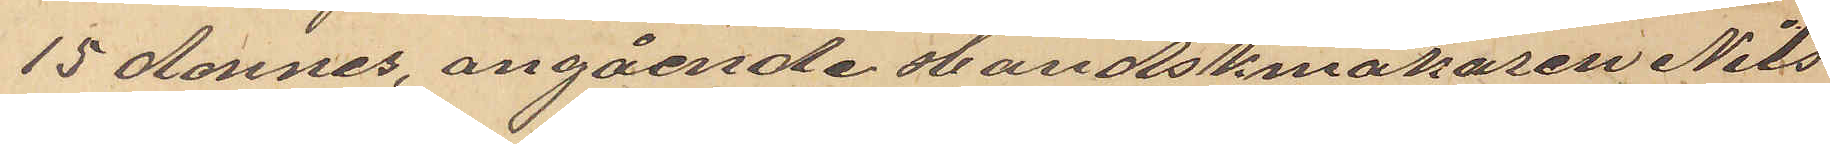15 dennes, angående Handskmakaren Nils
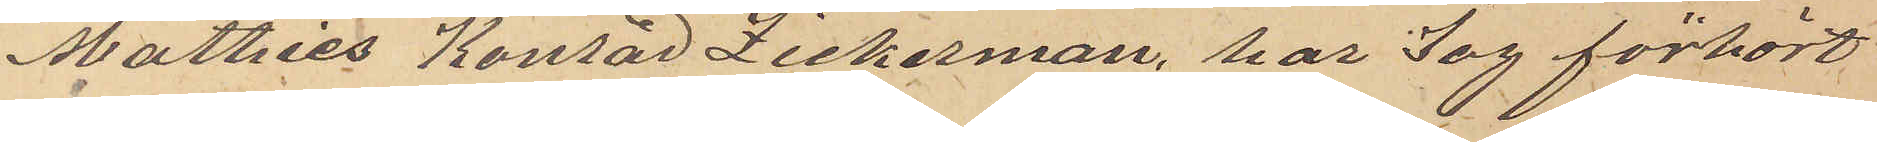Mathias Konrad Zickerman, har jag förhört
